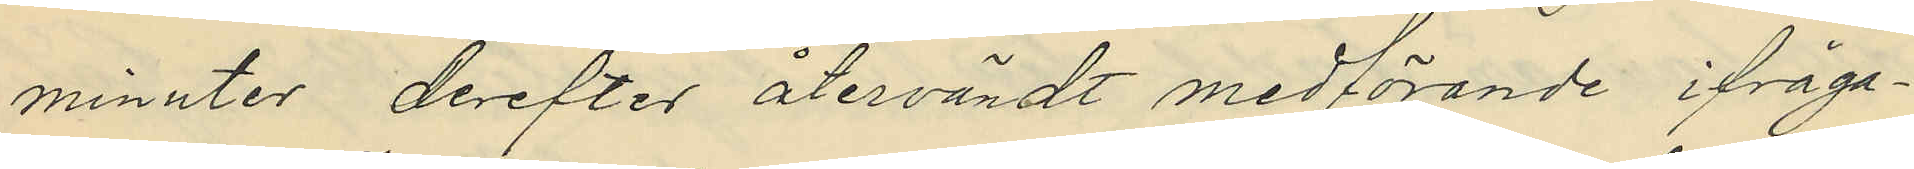minuter, derefter återvändt medförande ifråga¬
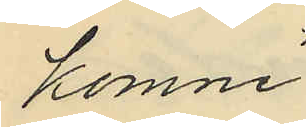komne
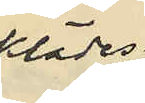klädes¬
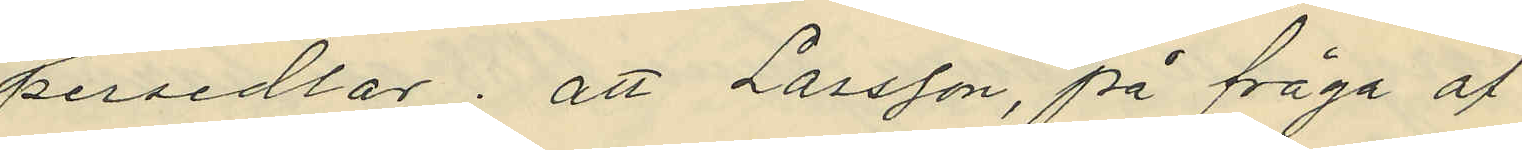persedlar; att Larsson, på fråga af
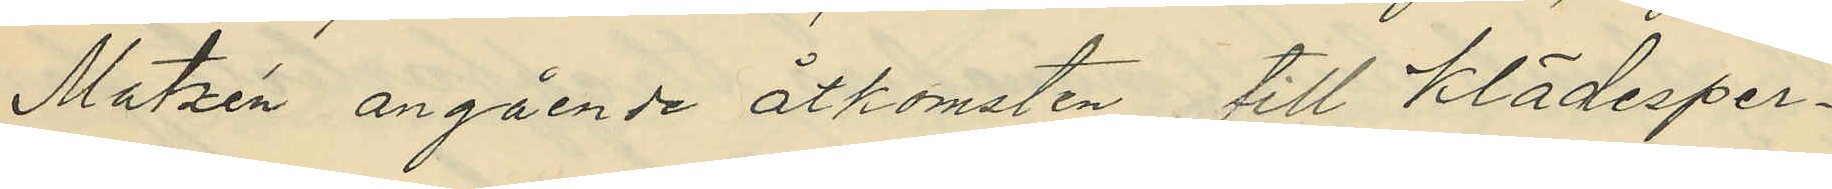Matzén angående åtkomsten till klädesper¬
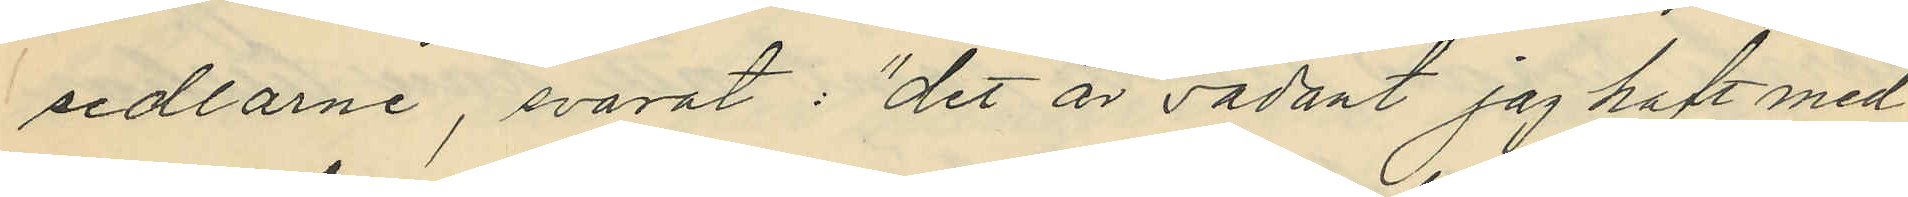sedlarne, svarat: "det är sådant jag haft med
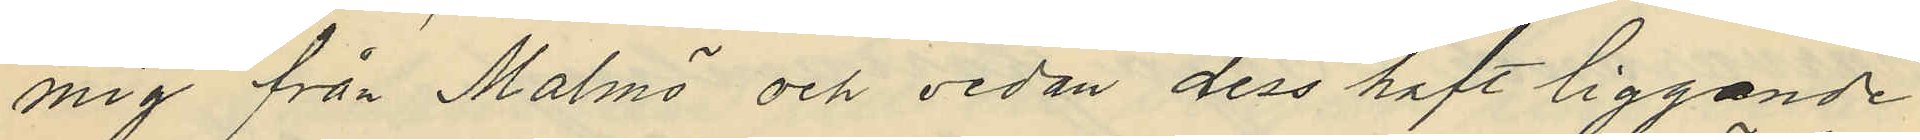mig från Malmö och sedan dess haft liggande
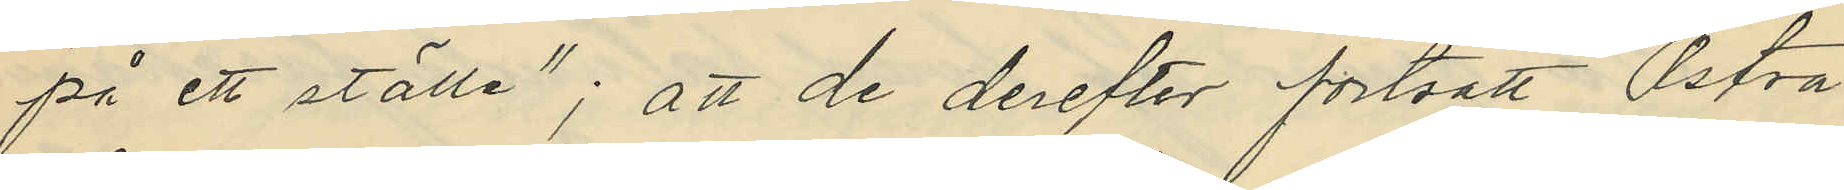på ett ställe"; att de derefter fortsatt Östra
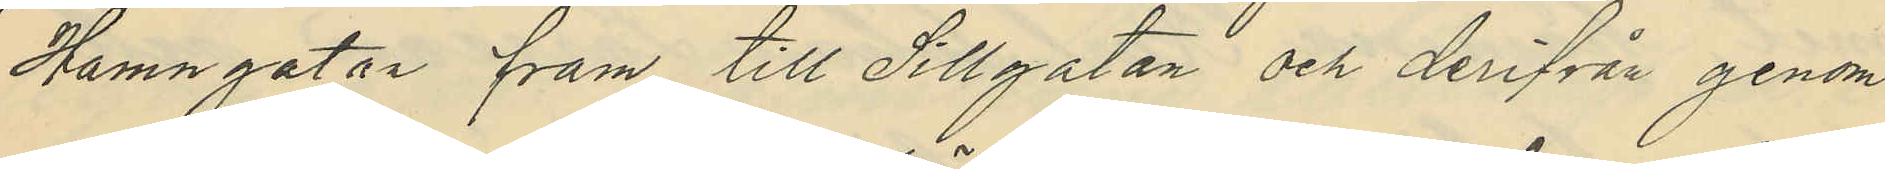Hamngatan fram till Sillgatan och derifrån genom
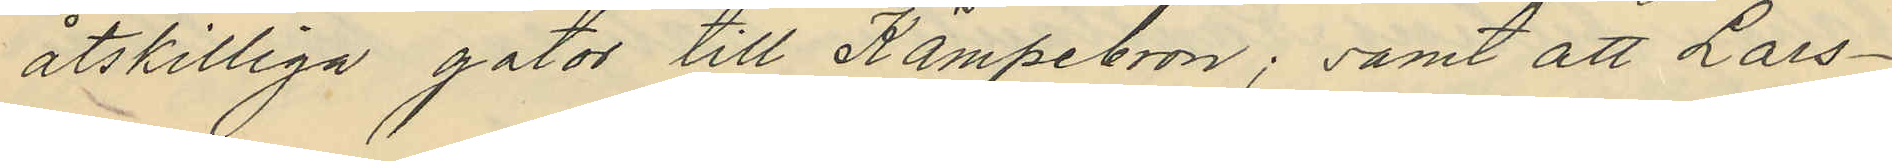åtskilliga gator till Kämpebron; samt att Lars¬
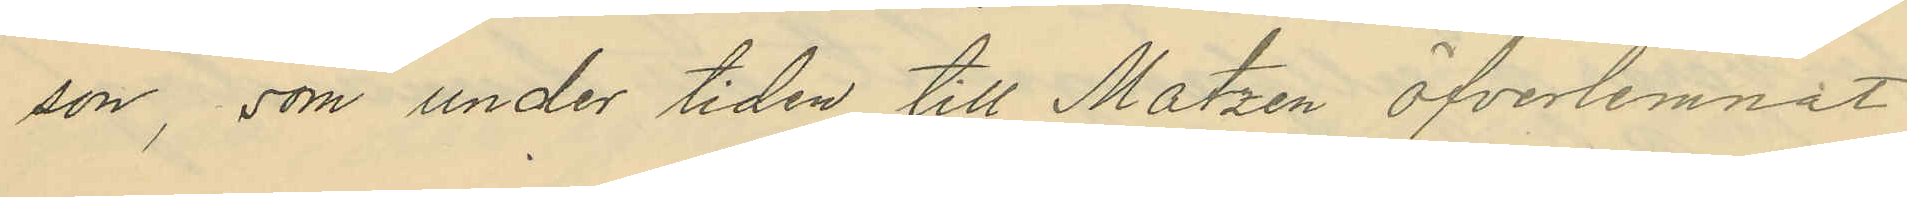son, som under tiden till Matzén öfverlemnat
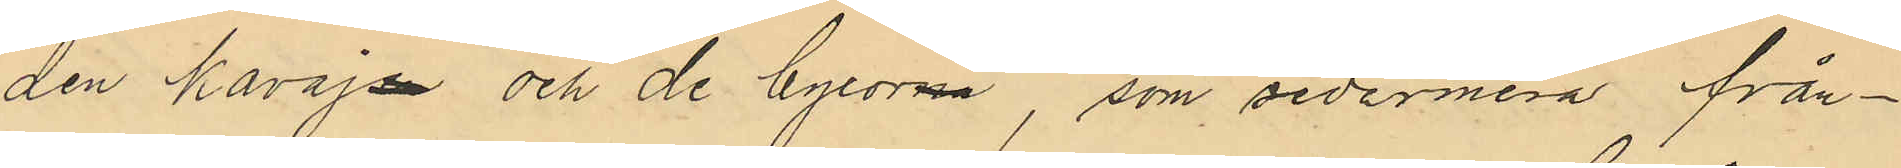den kavajen och de byxorna, som sedermera från¬
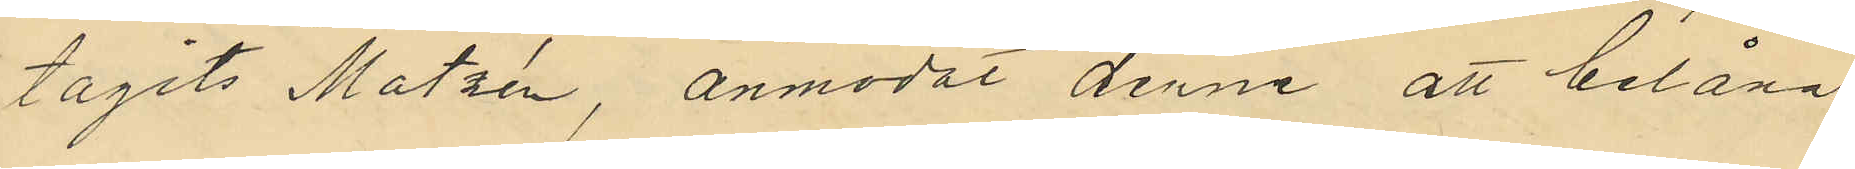tagits Matzén, anmodat denne att belåna
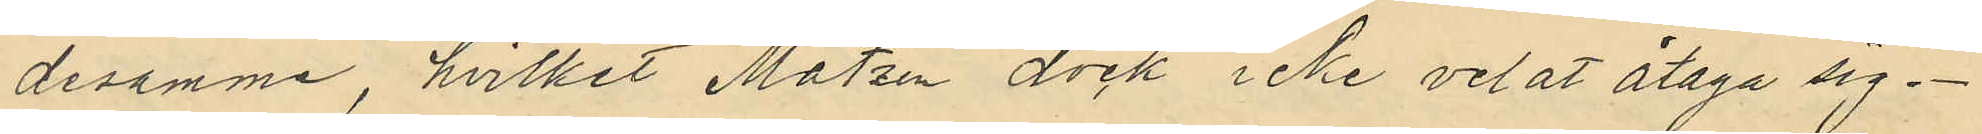desamme, hvilket Matzén dock icke velat åtaga sig.
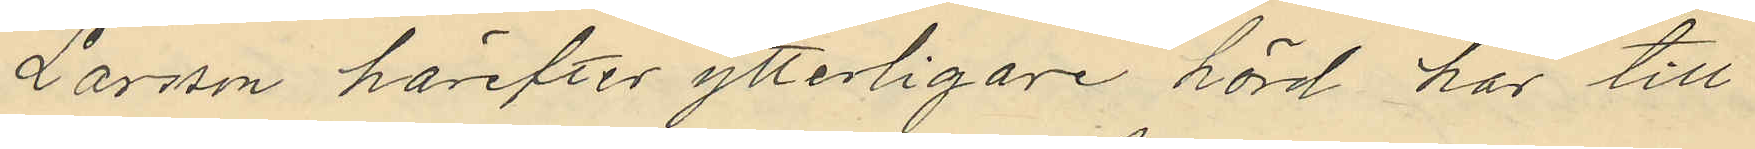Larsson härefter ytterligare hörd har till
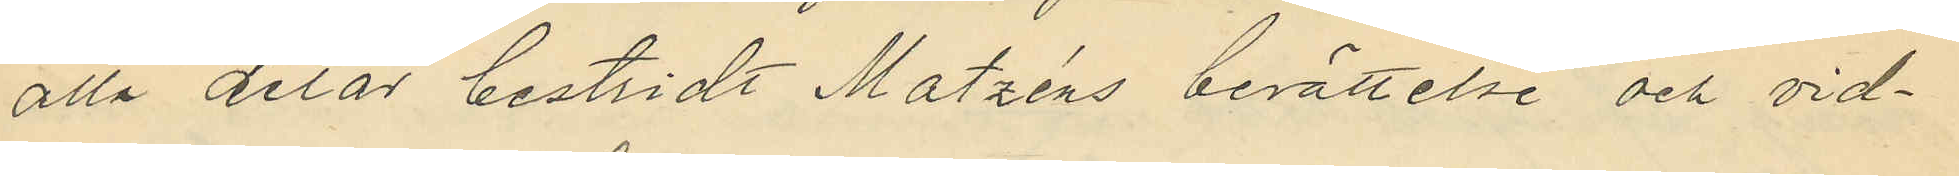alla delar bestridt Matzéns berättelse och vid¬
